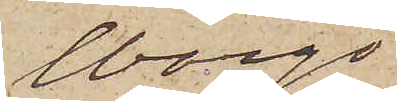Wargö
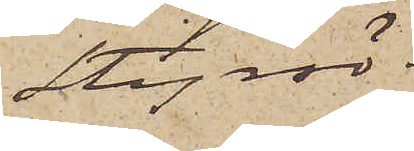Styrsö.
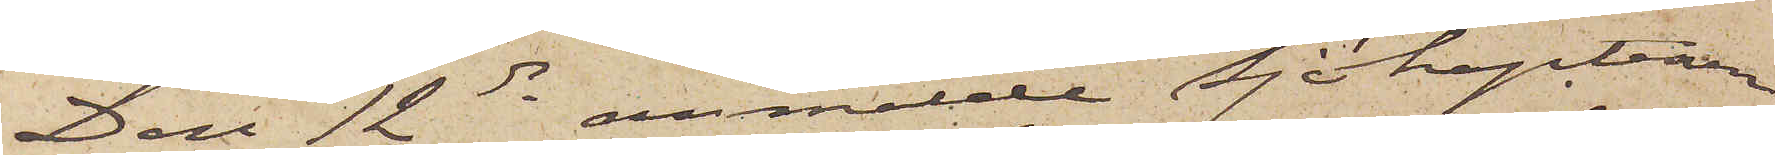Den 12 ds anmälde Sjökaptenen
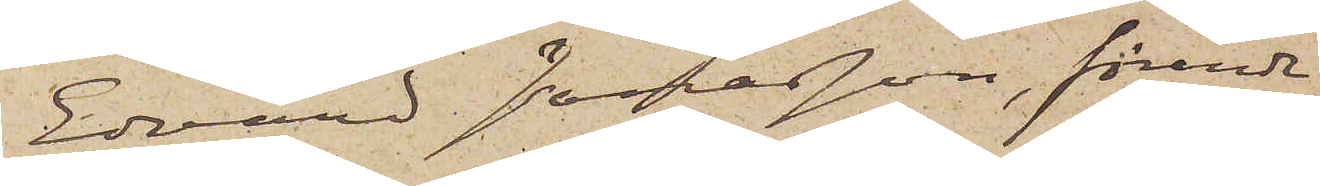Edvard Jonasson, förande
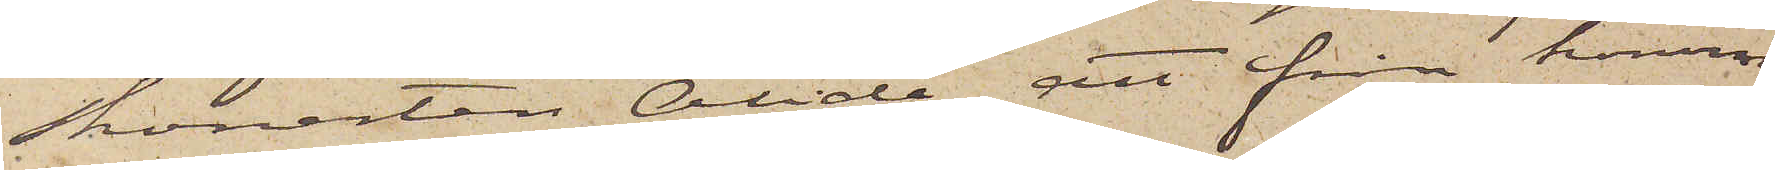Skonerten Alida att från honom
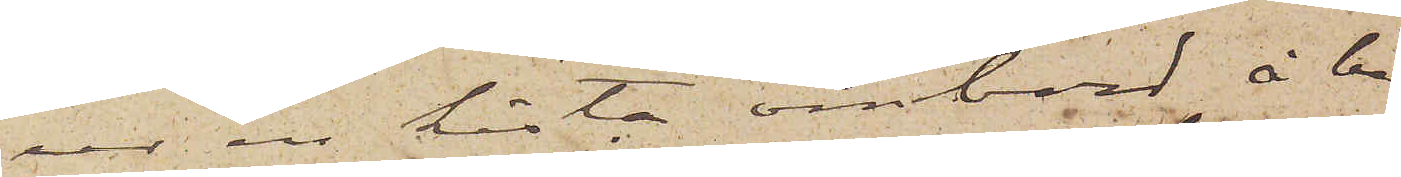ur en kista ombord å be¬
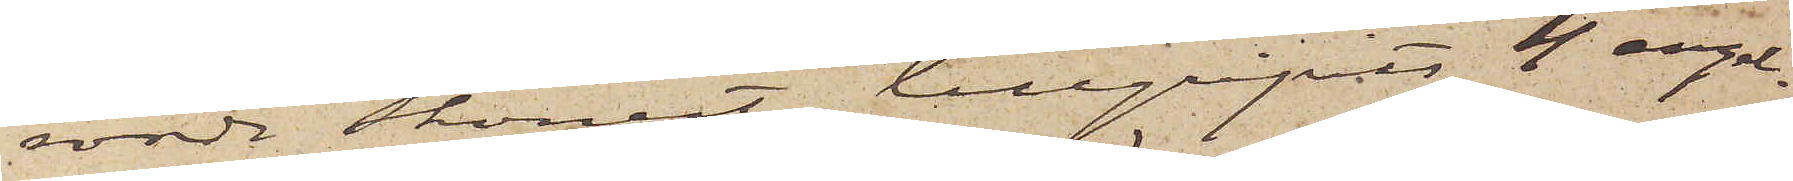rörde Skonert tillgripits 4 engel¬
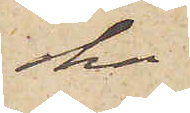ska pound
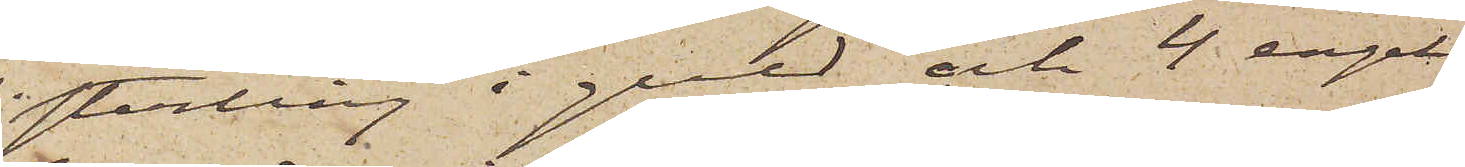sterling i guld och 4 engel¬
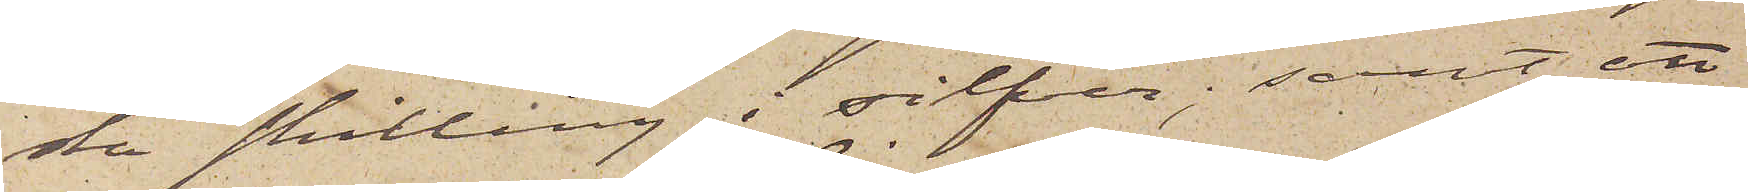ska skilling i silfver; samt att
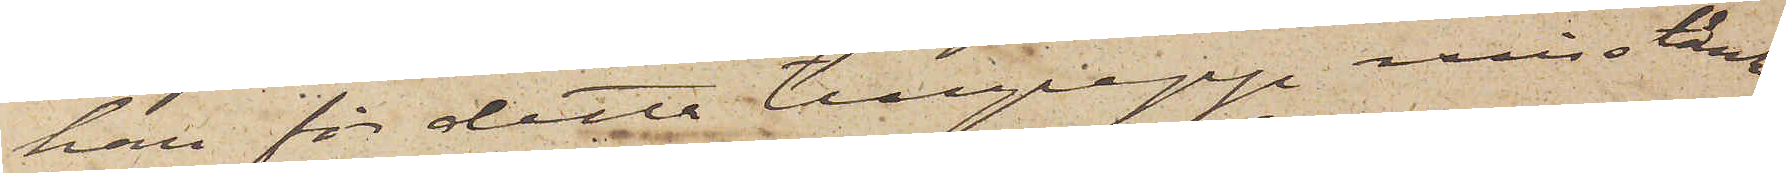han för detta tillgrepp misstänk¬
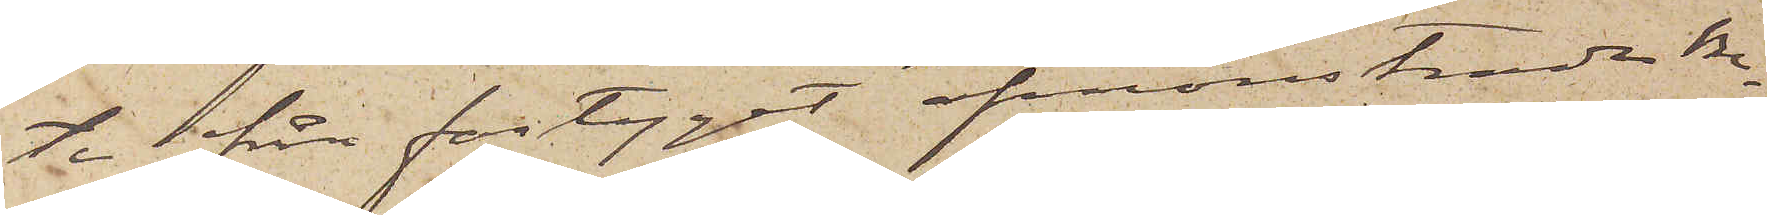te från fartyget afmönstradee be¬
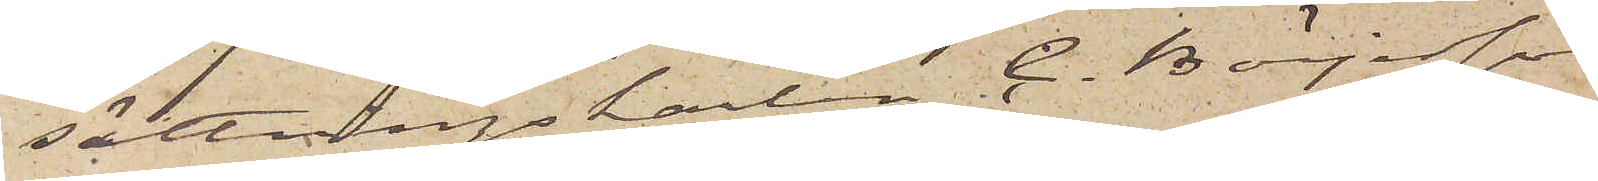sättningskarlen C. Börjesson
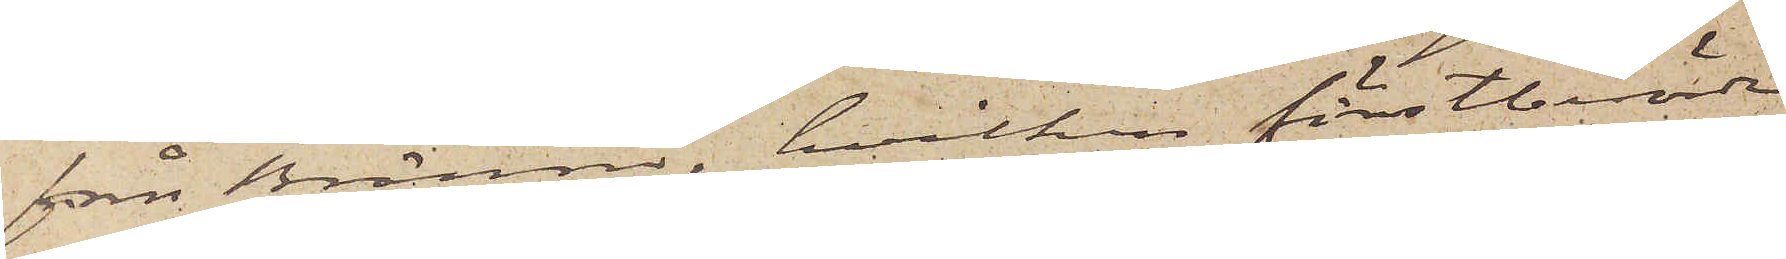från Brännö, hvilken förstberörde
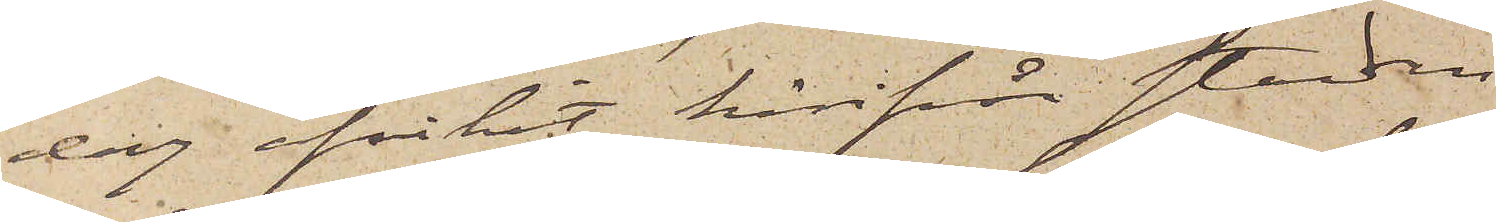dag afvikit härifrån staden.
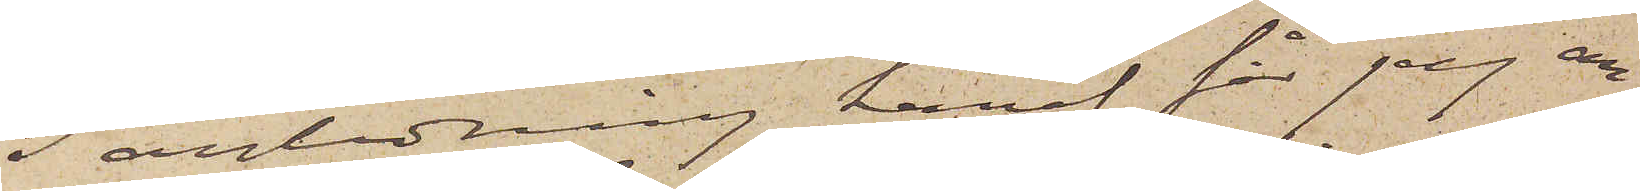I anledning häraf får jag an¬
